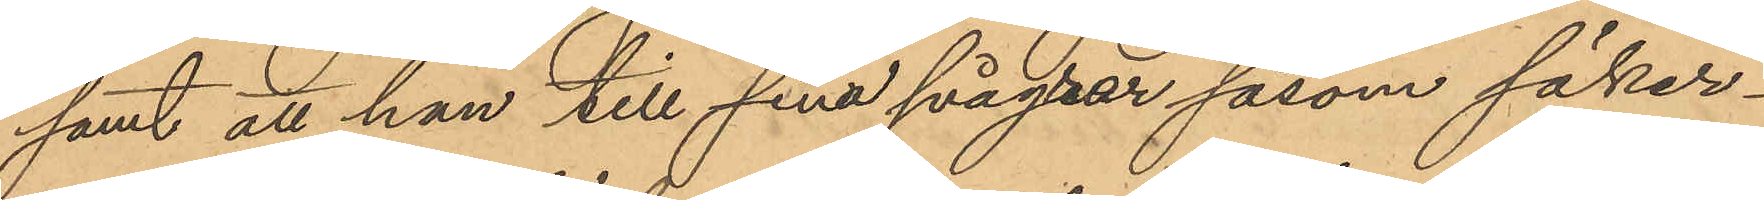samt att han till sina svågrar såsom säker¬
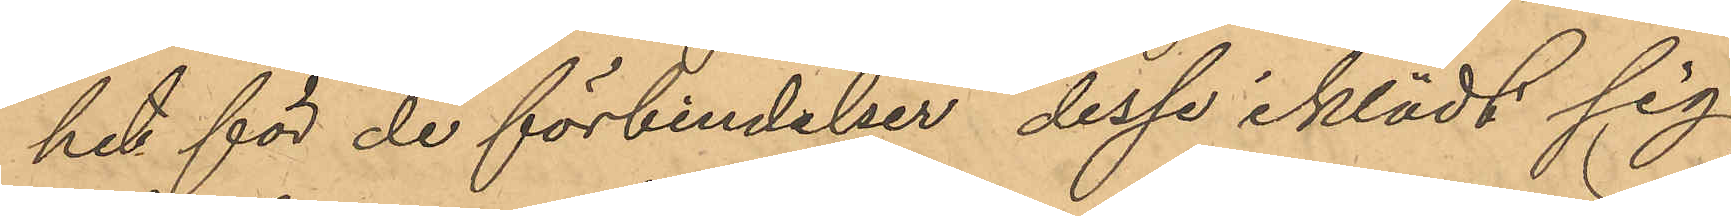het för de förbindelser desse iklädt sig
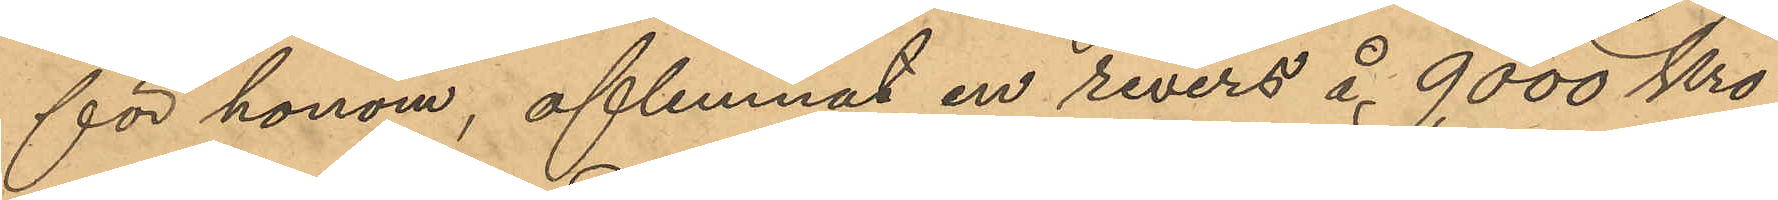för honom, aflemnat en revers å 9000 Kro¬
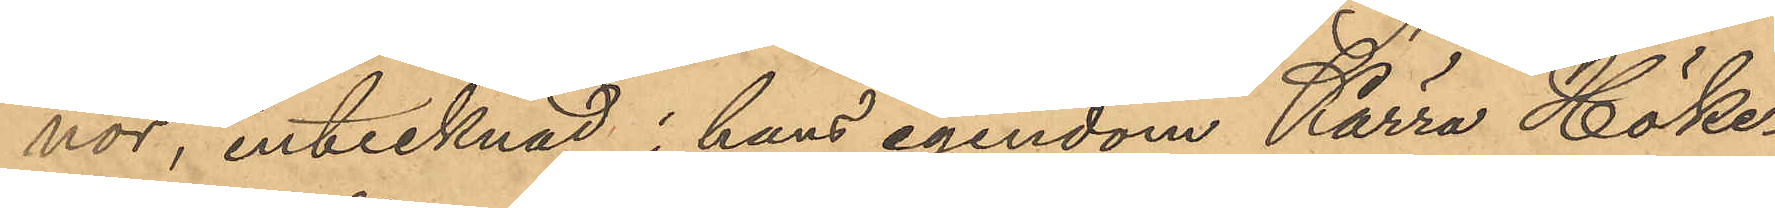nor, intecknad i hans egendom Kärra Höke¬
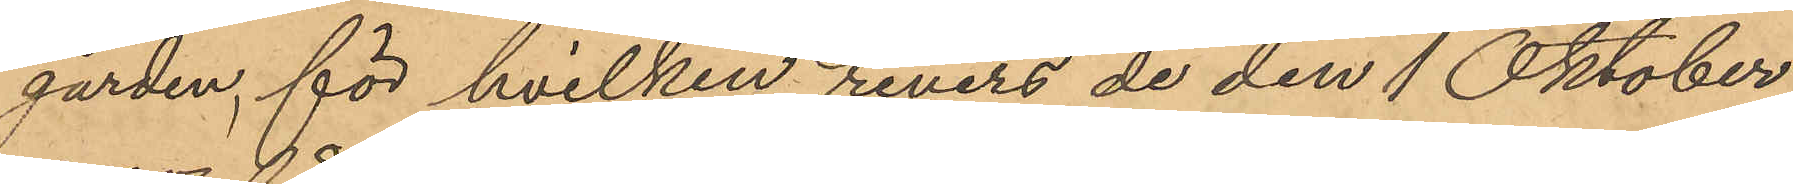gården, för hvilken revers de den 1 Oktober
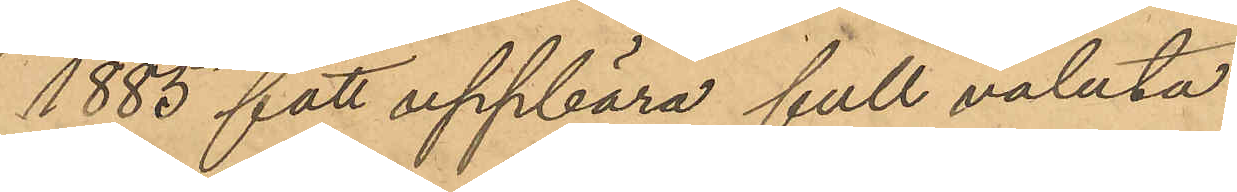1885 fått uppbära full valuta.
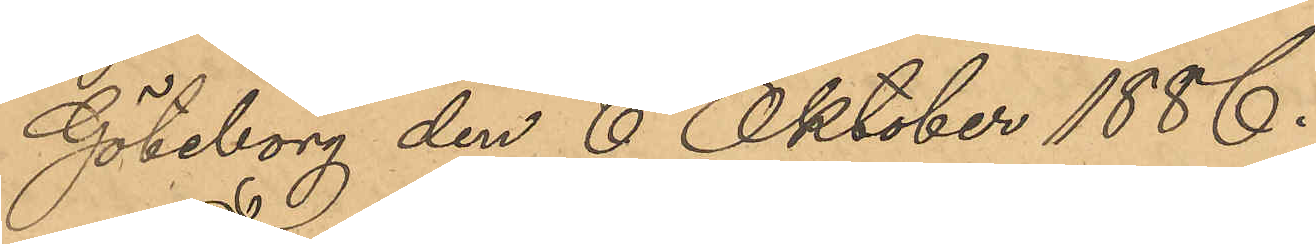Göteborg den 6 Oktober 1886.
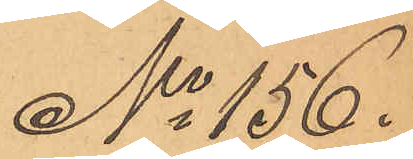No 156.
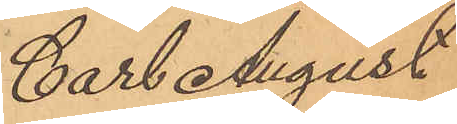Carl August
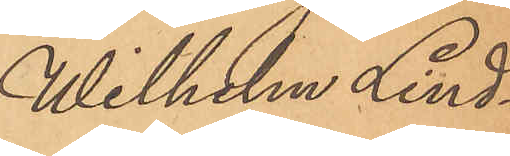Wilhelm Lind¬
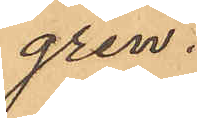gren.
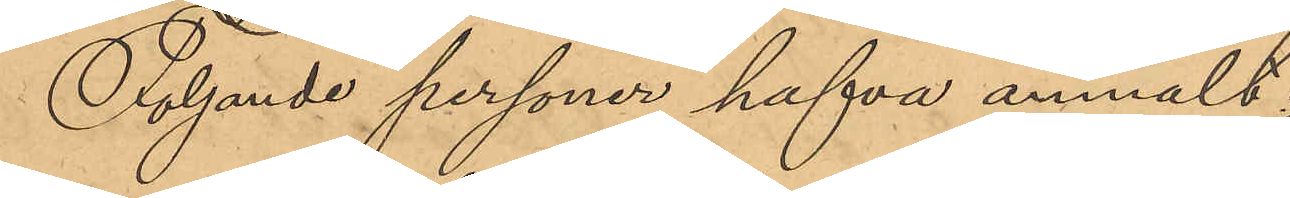Följande personer hafva anmält:
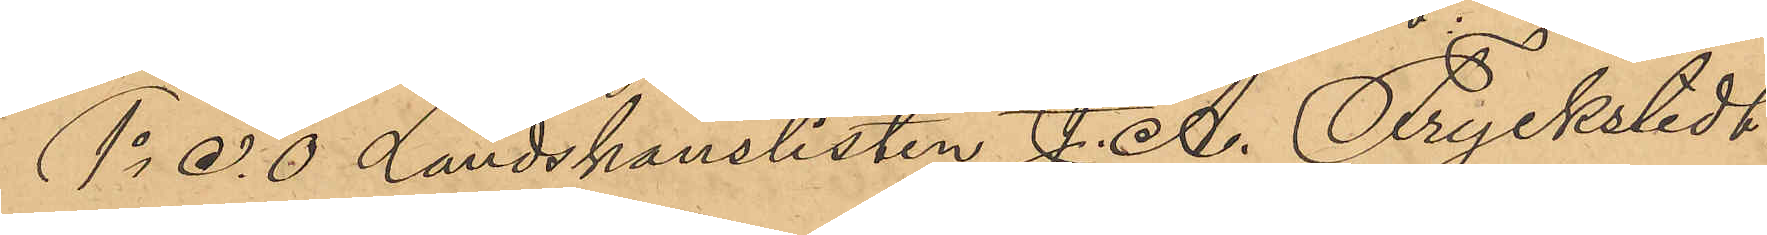1o E. O Landskanslisten J. A. Fryckstedt:
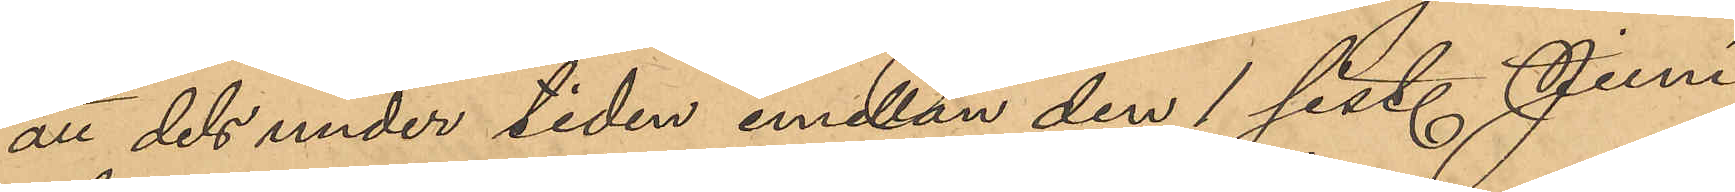att dels under tiden emellan den 1 sist. Juni
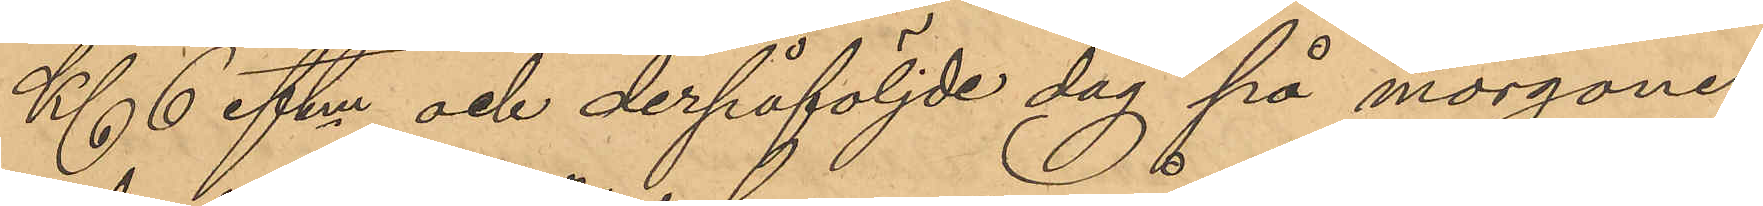Kl. 6 eftm och derpåföljde dag på morgonen
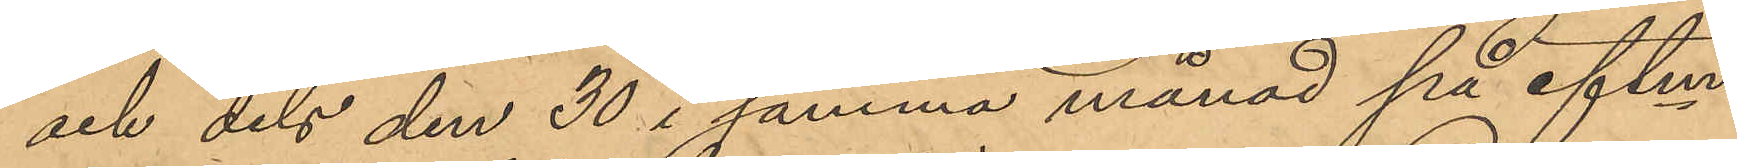och dels den 30 i samma månad på eftm
